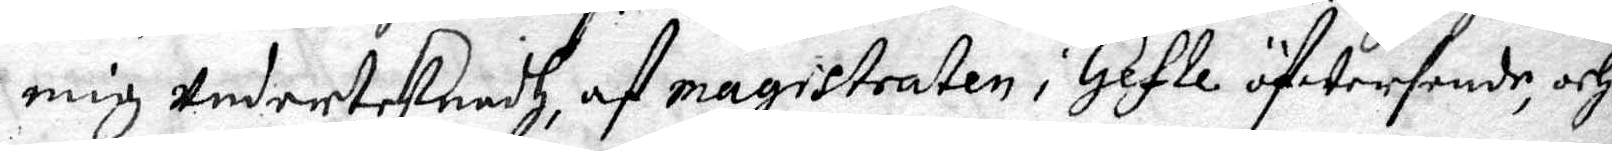mig Underteknadh, af magistraten i Gefle öfwersende, och
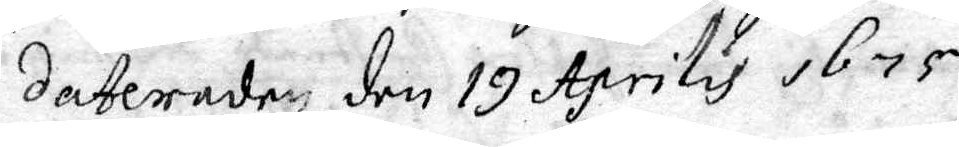Dateraden den 19 Aprilis 1675
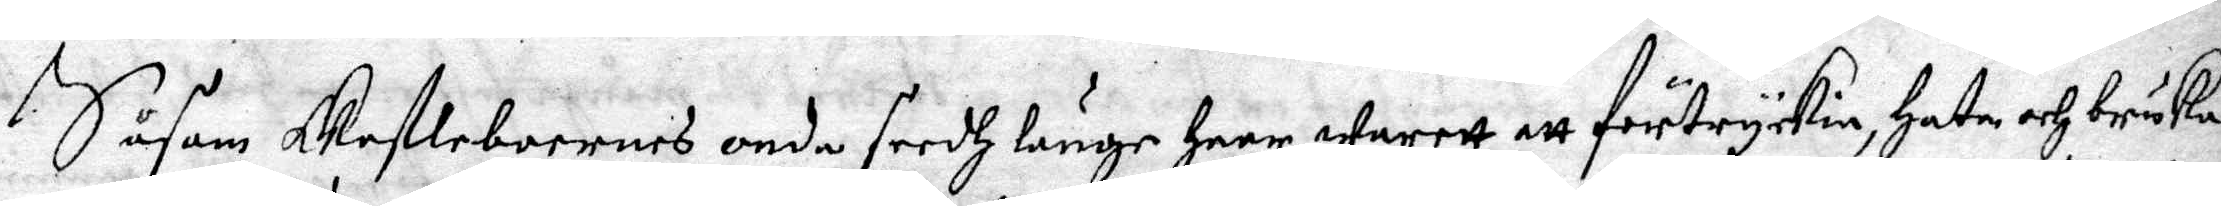Såsom Geftleboernes onda seedh länge haar warett att förtryckia, Hata och bruka
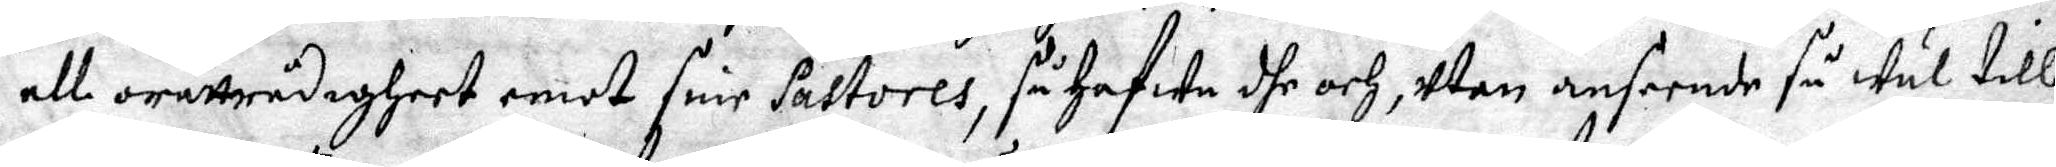all orättrådigheet emot sine Pastores, så Hafwa dhe och, utan anseende så wäl till
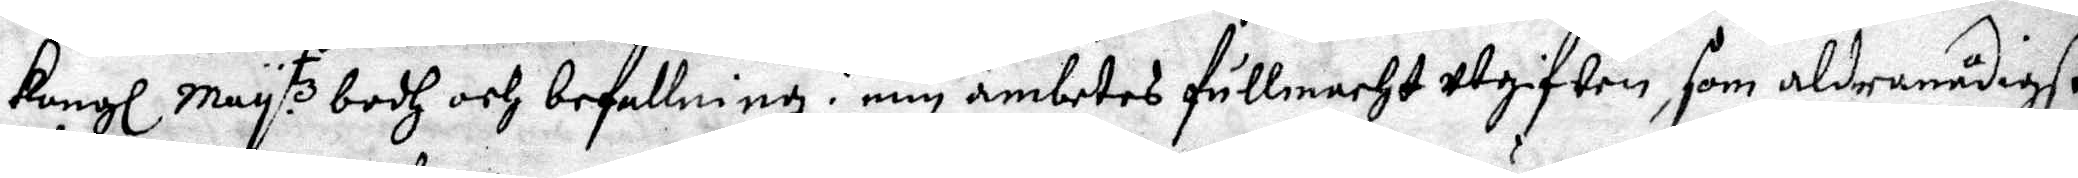Kongl. May.tz bodh och befallning i min ämbetes fullmacht utgiften, som aldranådigst
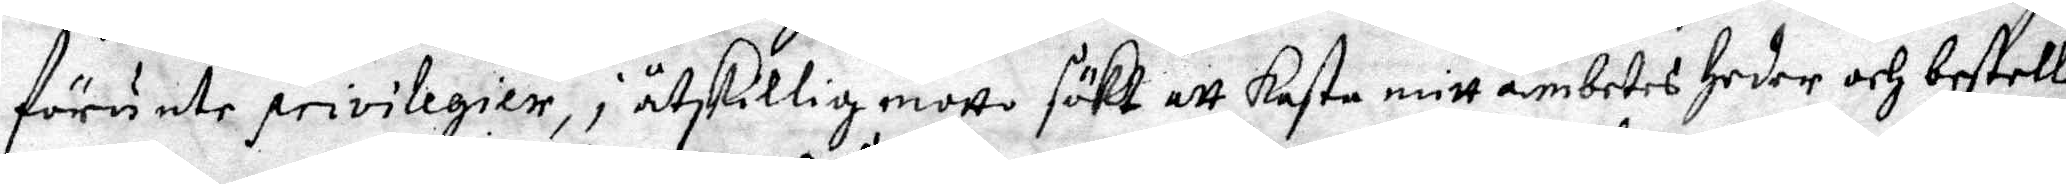förunte privilegier, i åtskillig motto sökt att kasta mitt ämbetes heder och bestell¬
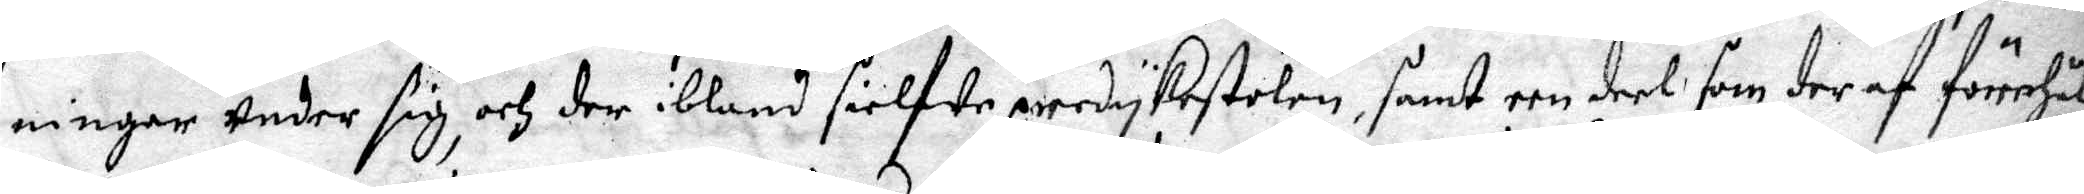ningar Under sig, och der ibland sielfwe pedykestolen, samt een deel som der af förehål¬
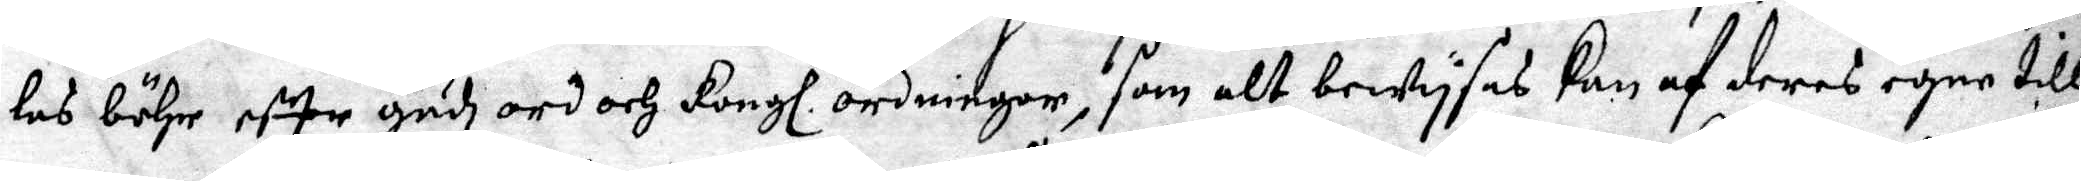las böhr eftter Gudz ord och Kongl. ordningar, som alt bewysas kan af deras egne till
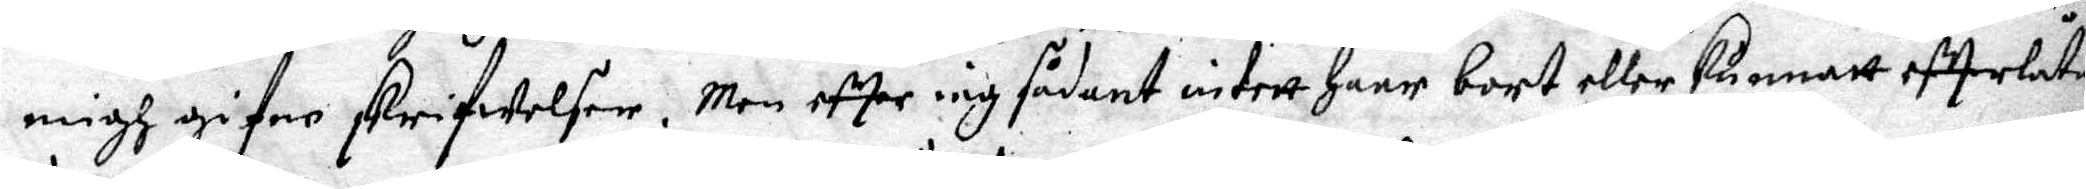migh gifne skrifwelser. Men effter iag sådant intett haar bort eller kunnatt effterlåta
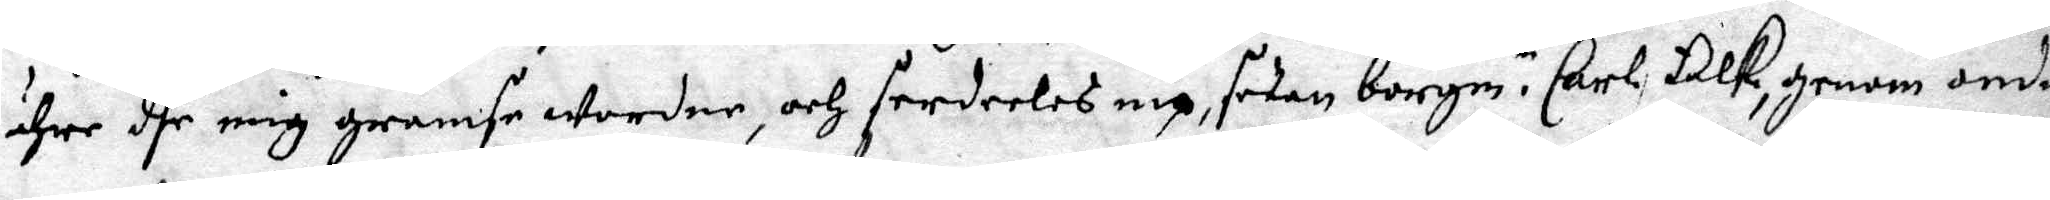ähre dhe mig gramse wordne, och serderles ny, sedan borgm.r Carl Falk, genom onda
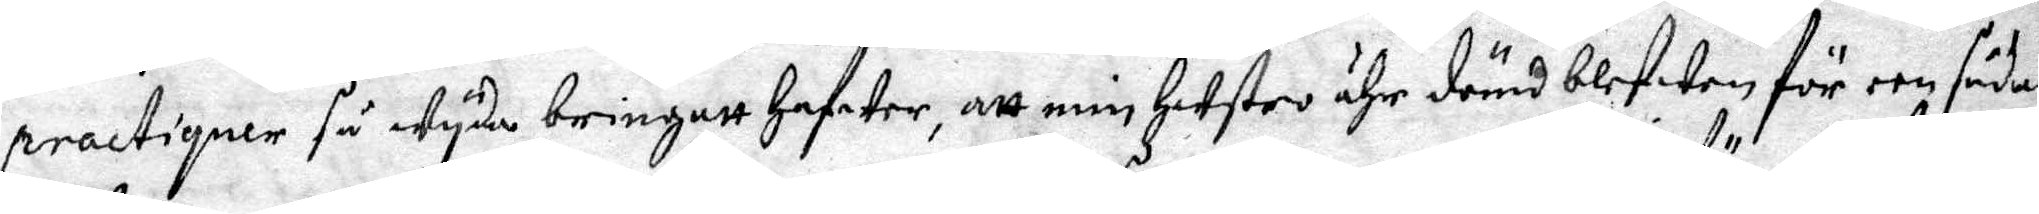practiquer så wyda bringatt hafwer, att min hustro ähr dömd blefwen för een sådan
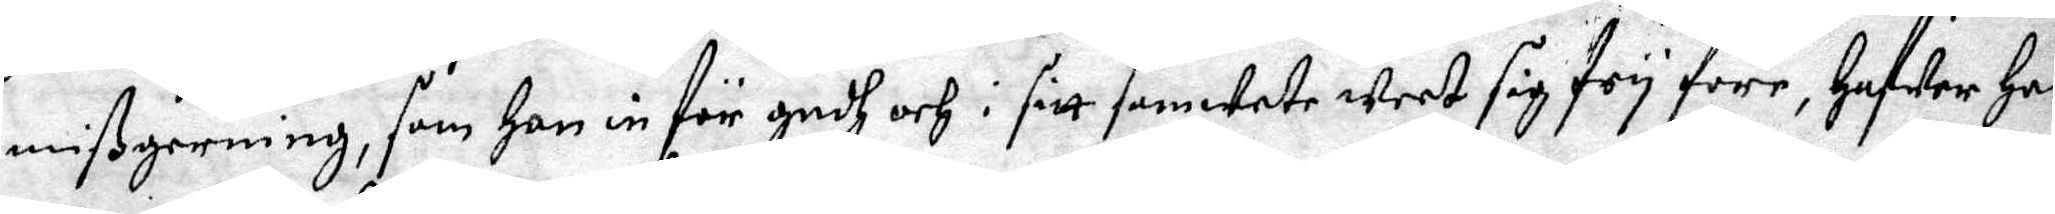mißgerning, som han in för gudh och i sitt samwete weet sig fry före, Hafwer Han
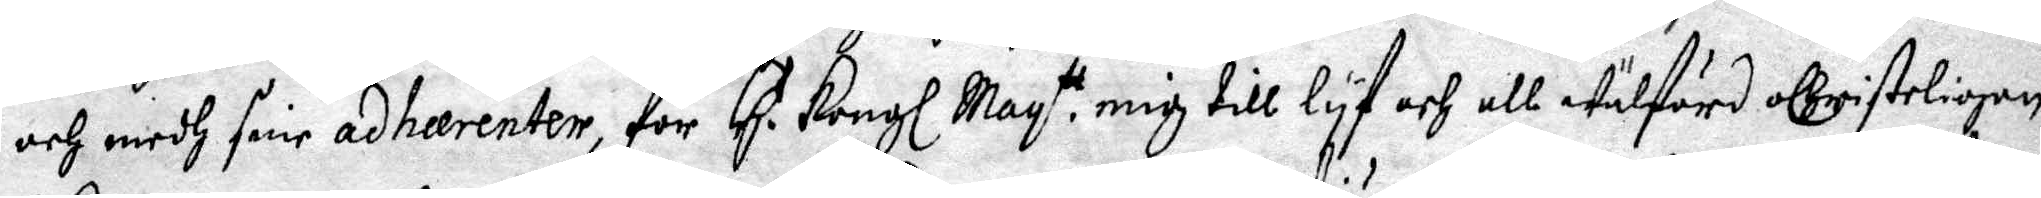och medh sine adheerenter, för H. Kongl May:tt mig till lyf och all Wälfärd oChisteligen
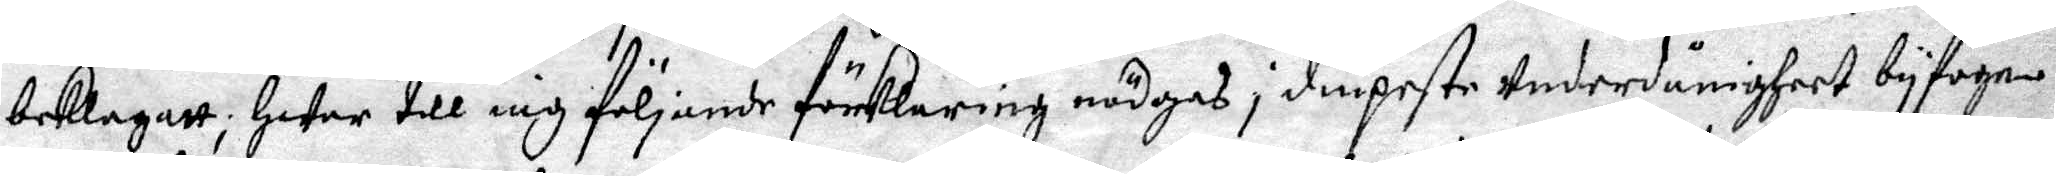beklagatt; hwar till iag följande förklaring nödgas i diupeste Underdånigheet byfoge.
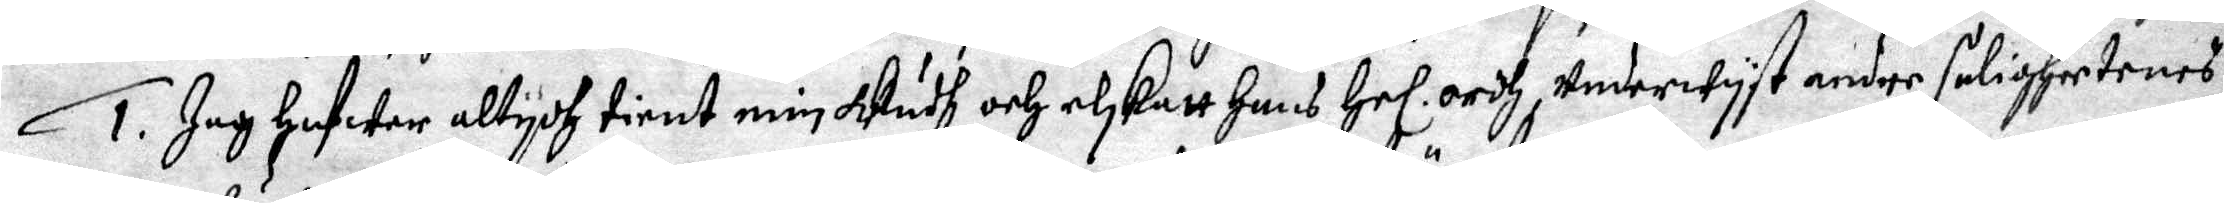1. Jag hafwer altydh tient min Gudh och elskatt hans Hel. ordh, Underwyst andre saligheetenes
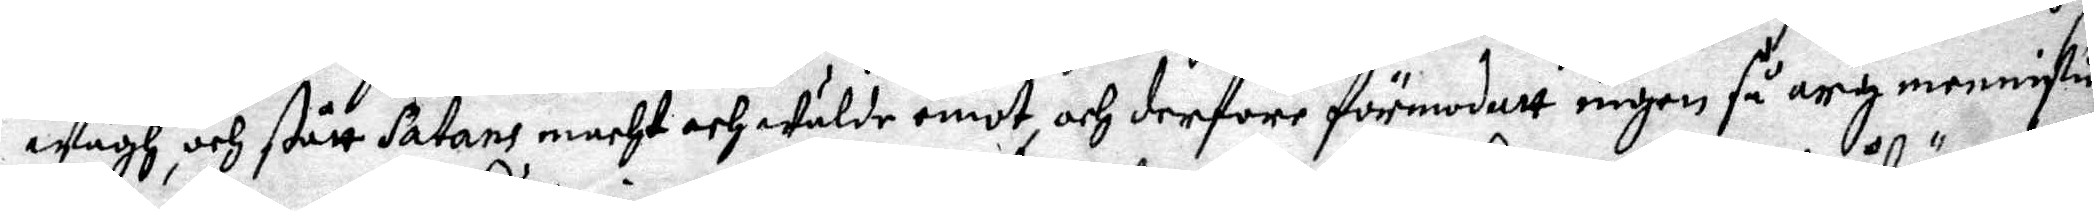Wägh och stått Satans macht och wälde emot, och derföre förmodatt ingen så arg menniskia
